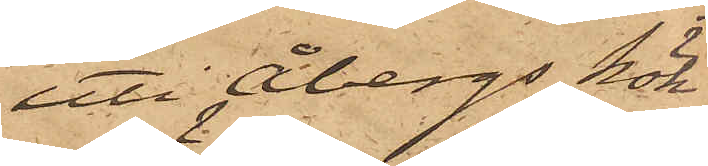uti Åbergs kök
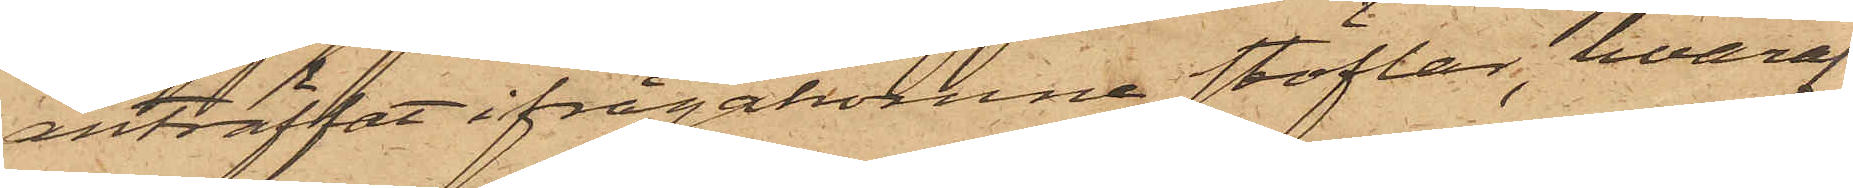anträffat ifrågakomne stöflar, hvaraf
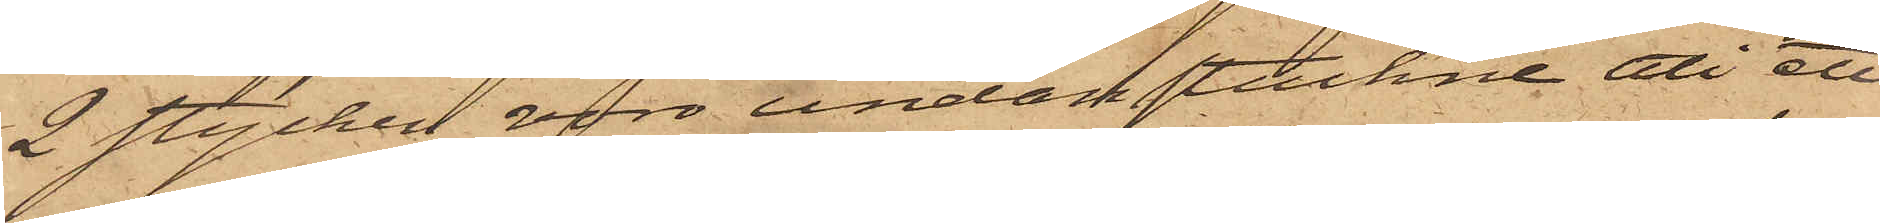2 stycken voro understuckne uti ett
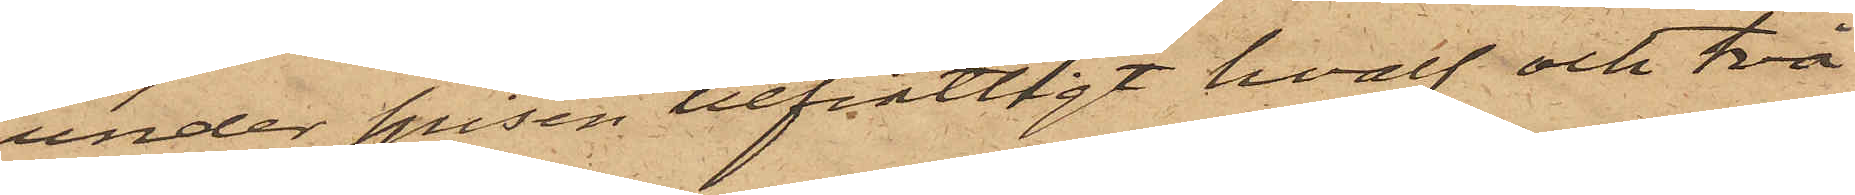under spisen befintligt hvalf och två
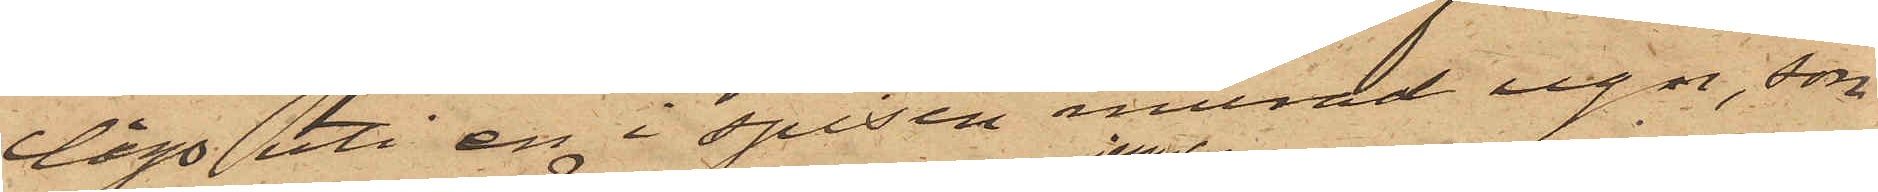lågo uti en i spisen murad ugn, som
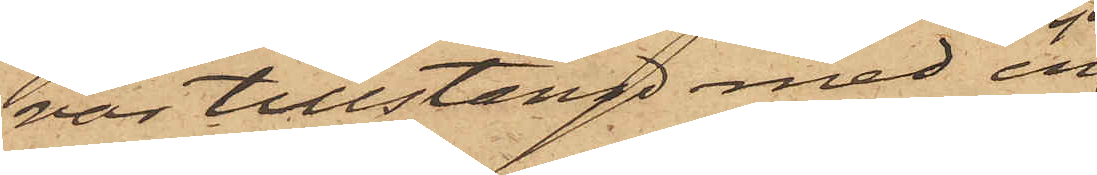var tillstängd med en
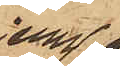jern¬ 
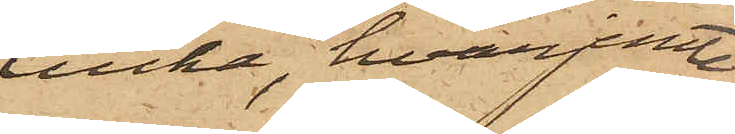lucka, hvarjemte
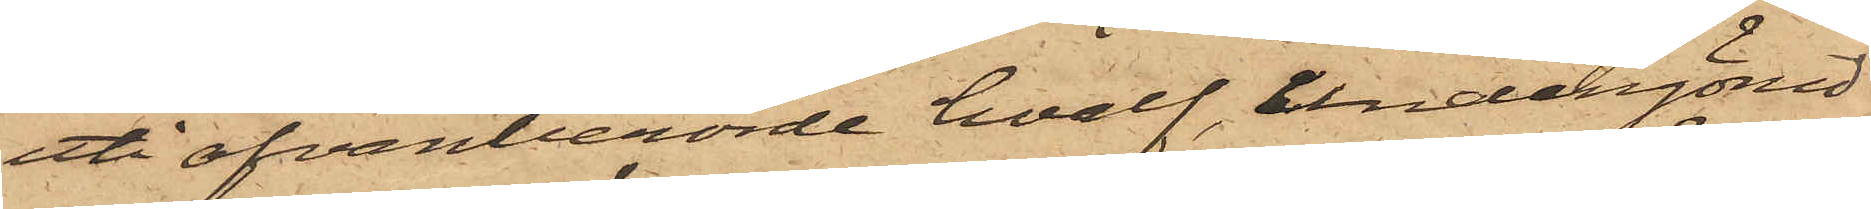uti ofvanberörde hvalf, undangömd
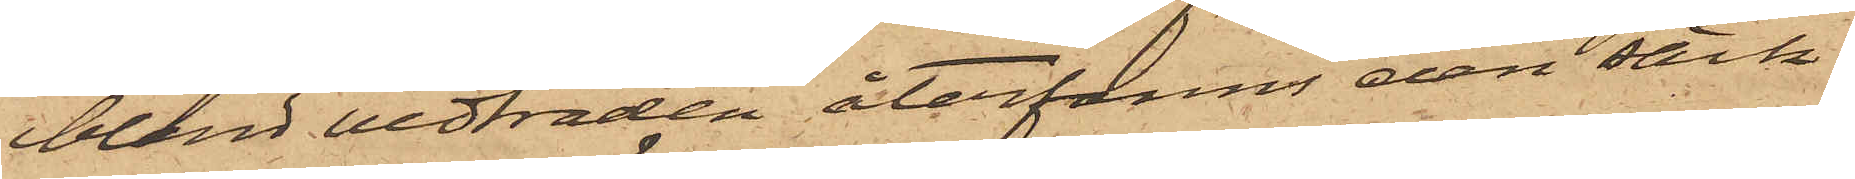bland vedträden återfanns den säck,
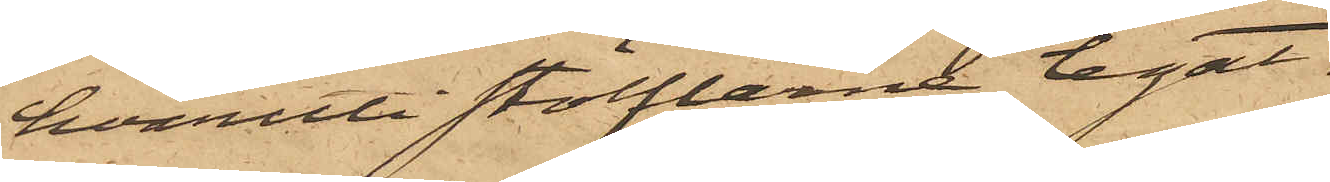hvaruti stöflarne legat.
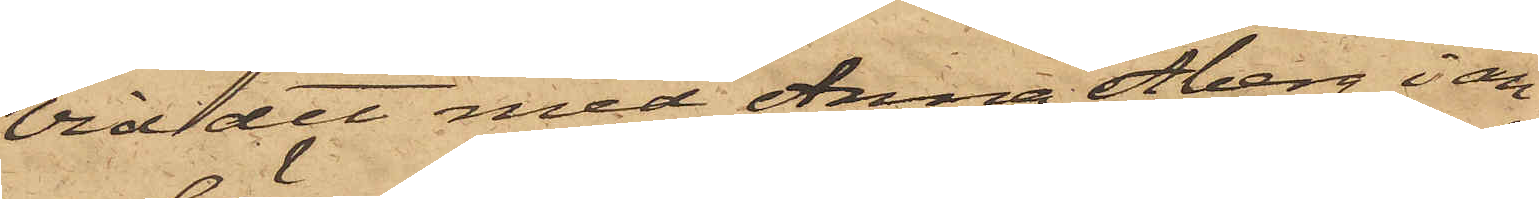Vid det med Anna Åberg i an¬
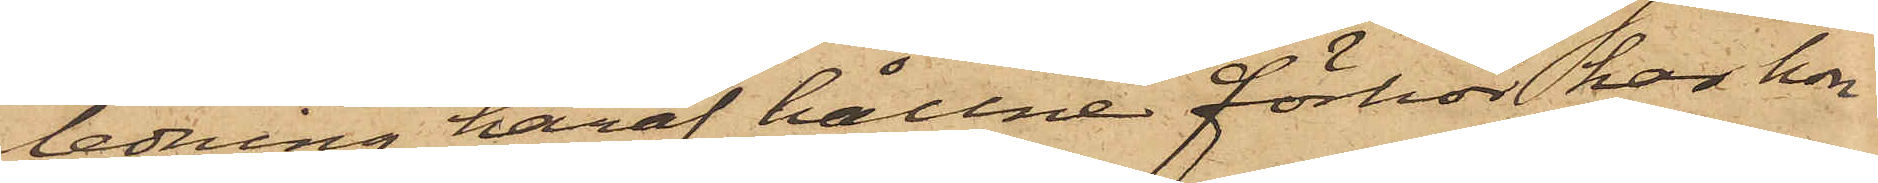ledning häraf hållne förhör har hon
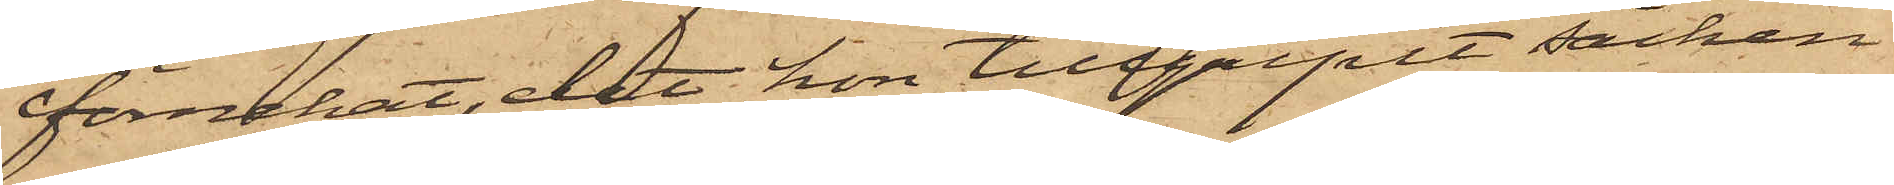förnekat, det hon tillgripit säcken
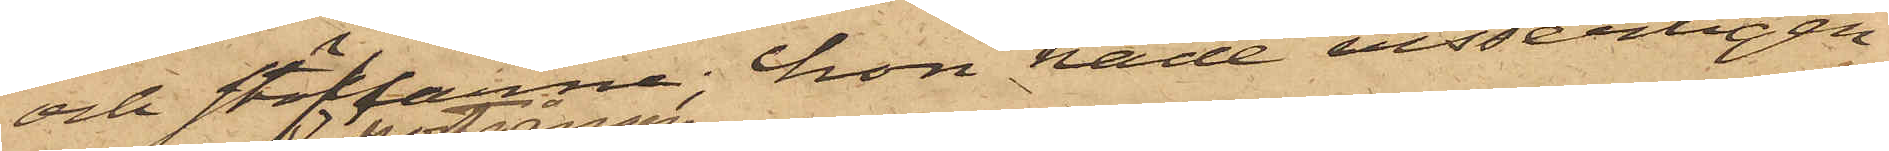och stöflarne; hon hade visserligen
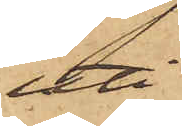uti
